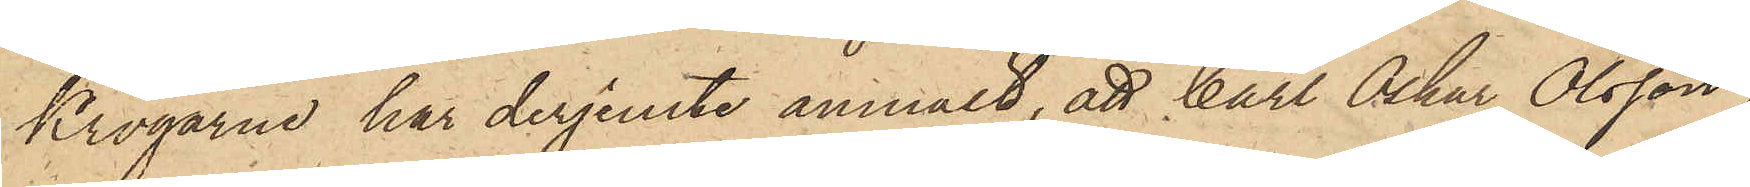krogarne, har derjemte anmält, att Carl Oskar Olsson,
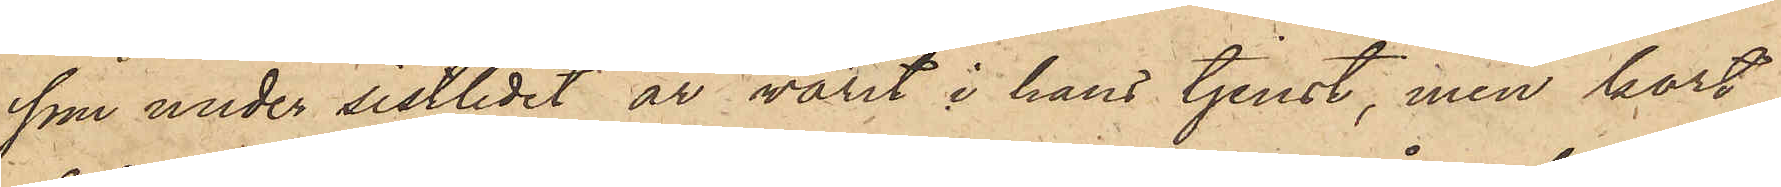som under sistlidet år varit i hans tjenst, men kort
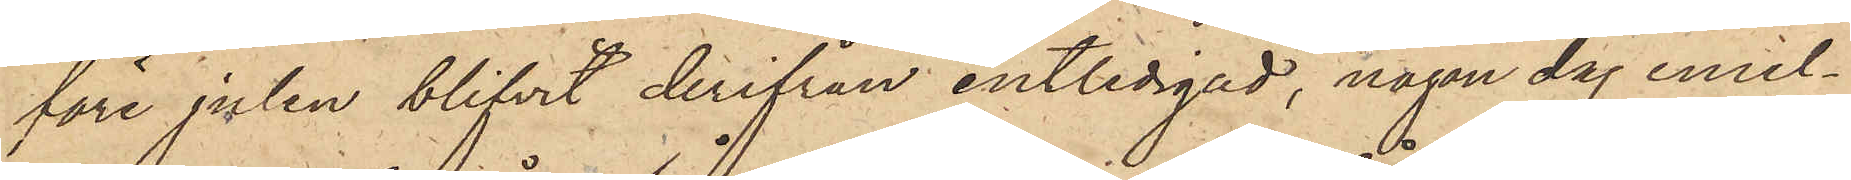före julen blifvit derifrån entledigad, någon dag emel¬
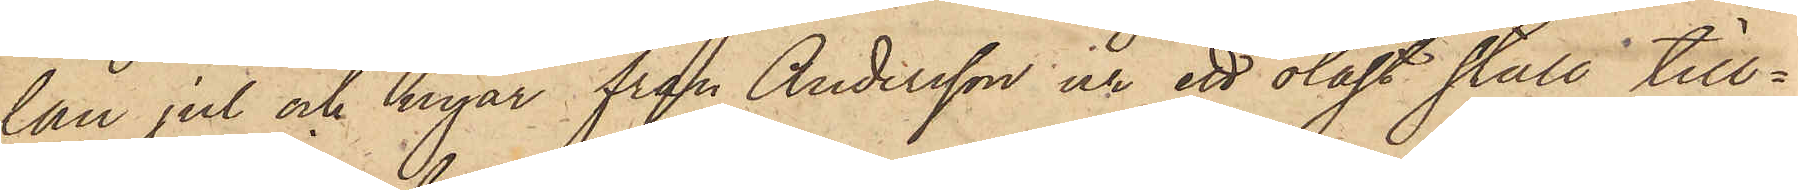lan jul och nyår från Andersson ur ett olåst stall till¬
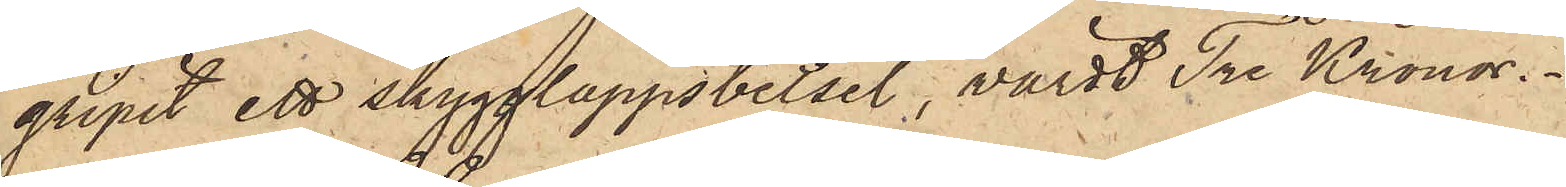gripit ett skygglappsbetsel, värdt Tre Kronor.
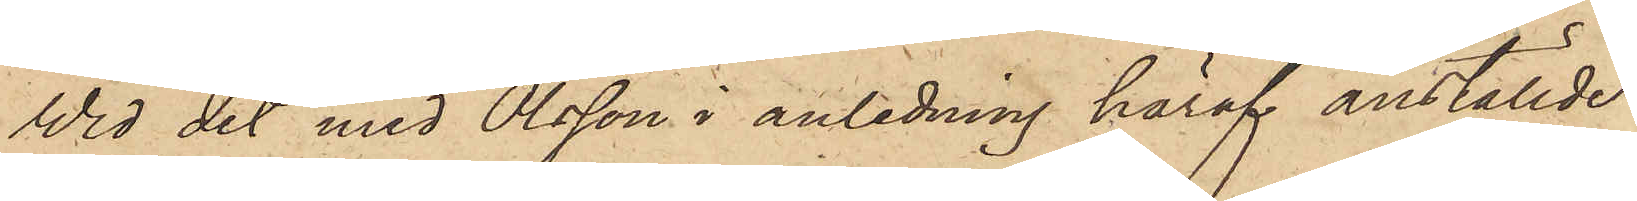Vid det med Olsson i anledning häraf anställde
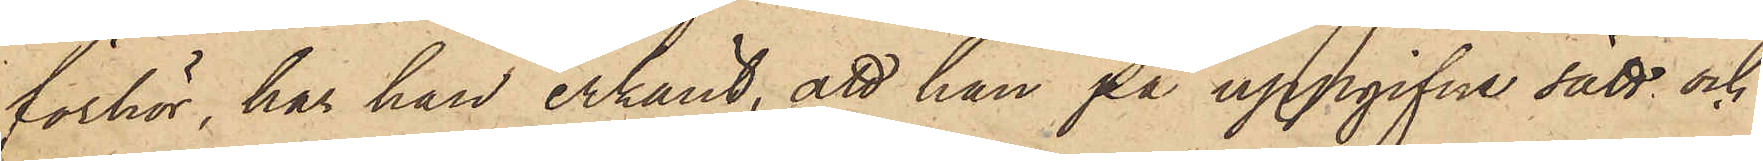förhör, har han erkänt, att han på uppgifne sätt och
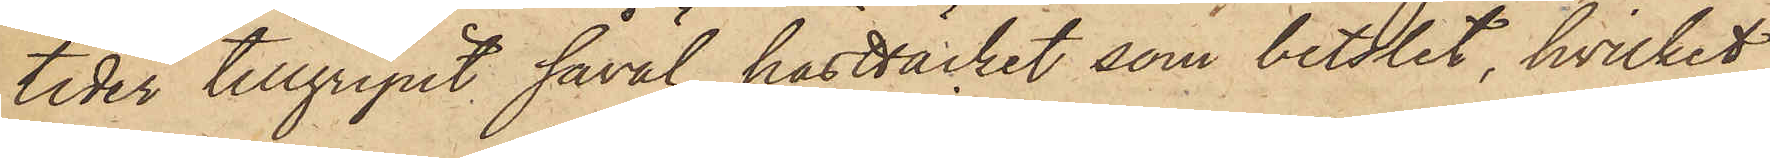tider tillgripit såväl hästtäcket, som betslet, hvilket
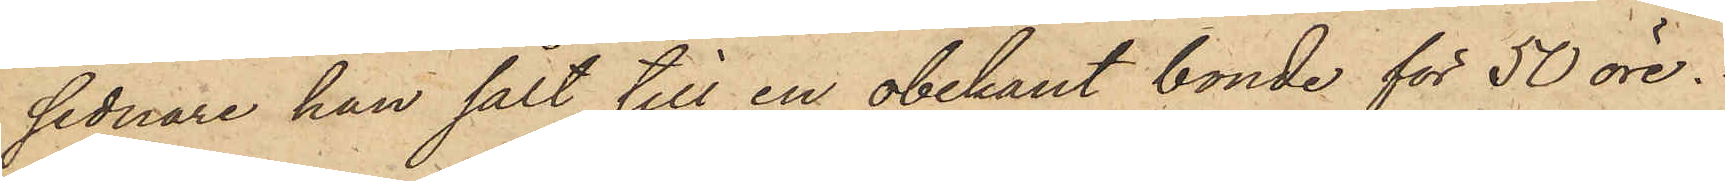sednare han sålt till en obekant bonde för 50 öre.
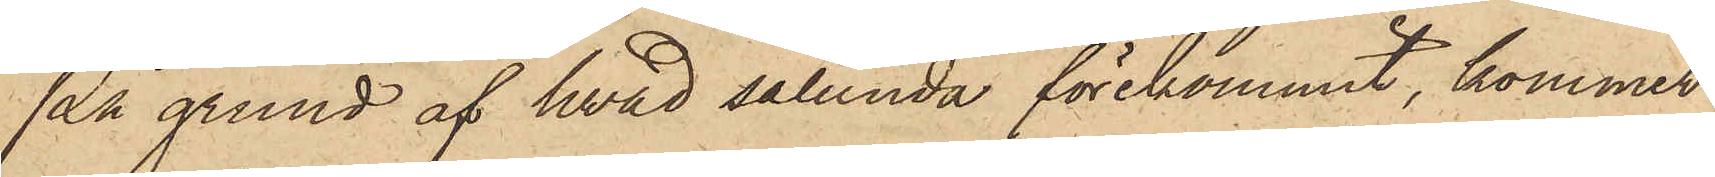På grund af hvad sålunda förekommit, kommer
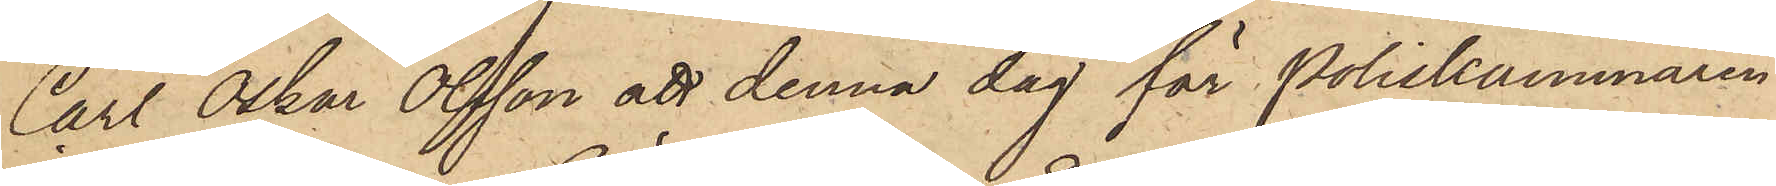Carl Oskar Olsson att denna dag för Poliskammaren
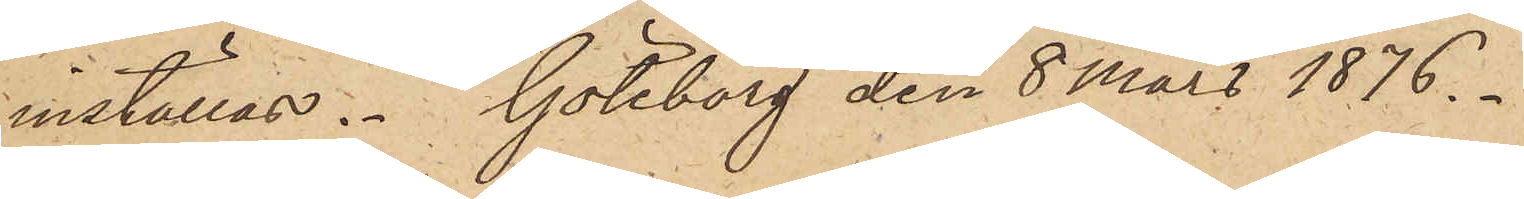inställas. Göteborg den 8 Mars 1876.
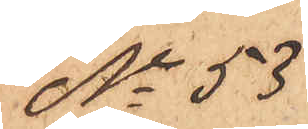No 53
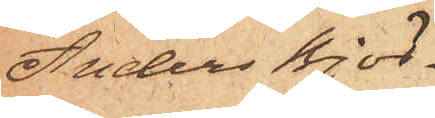Anders Björ¬
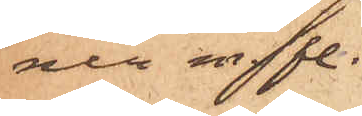ner m fl.
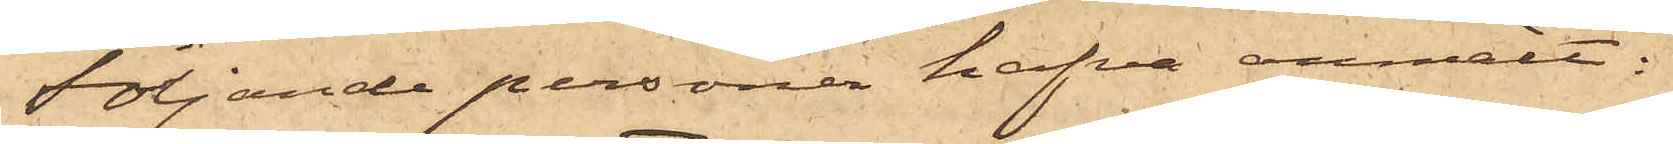Följande personer hafva anmält:
